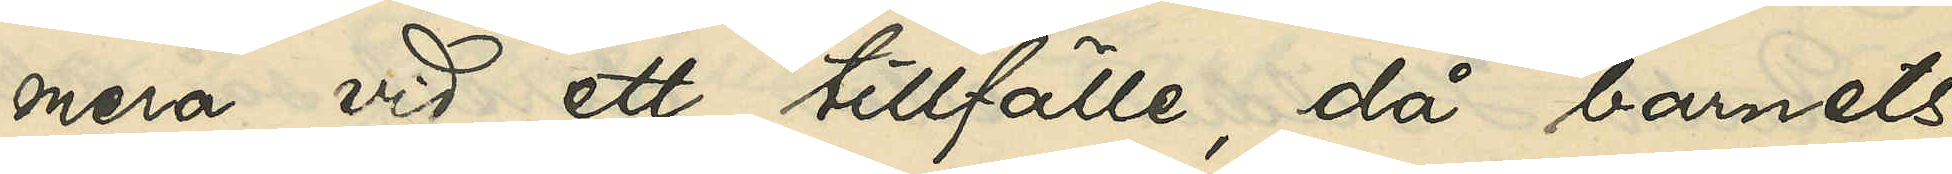mera vid ett tillfälle, då barnets
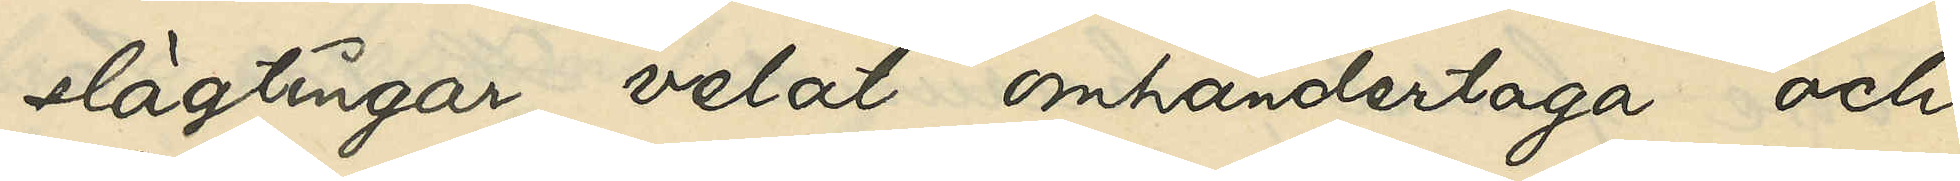slägtingar velat omhändertaga och
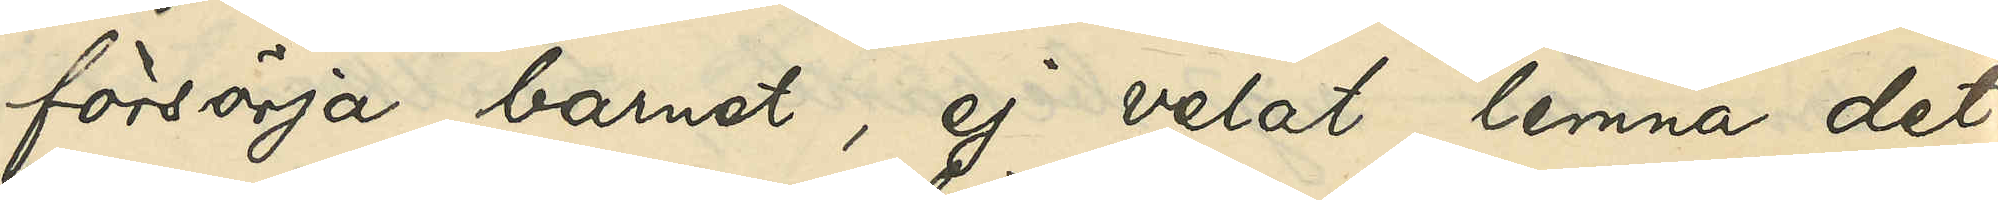försörja barnet, ej velat lemna det¬
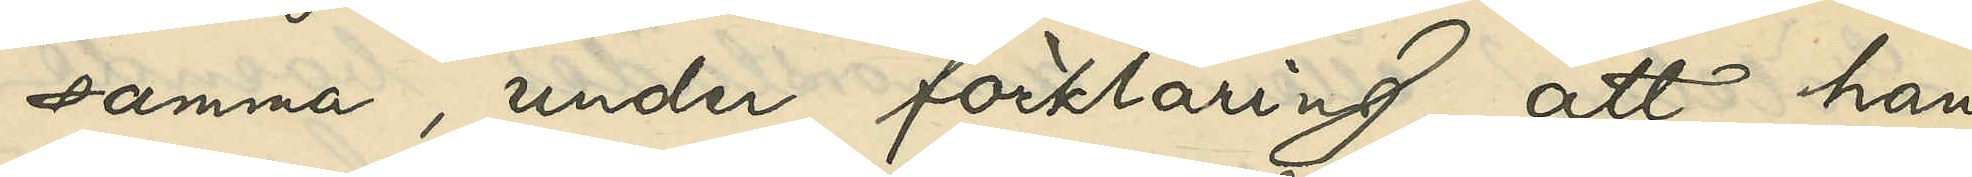samma, under förklaring, att han
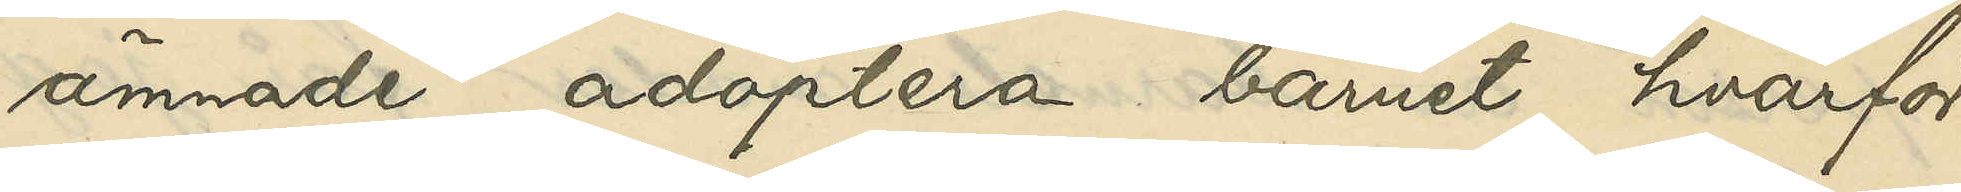ämnade adoptera barnet, hvarför
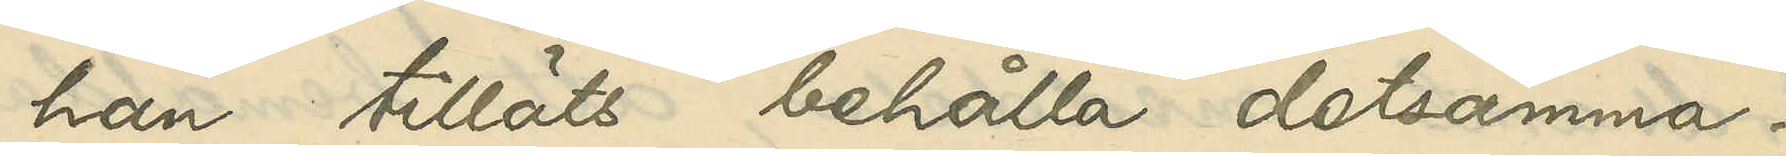han tilläts behålla detsamma.
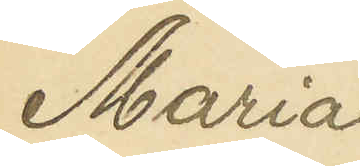Maria
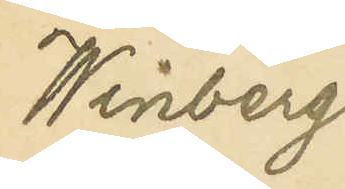Winberg
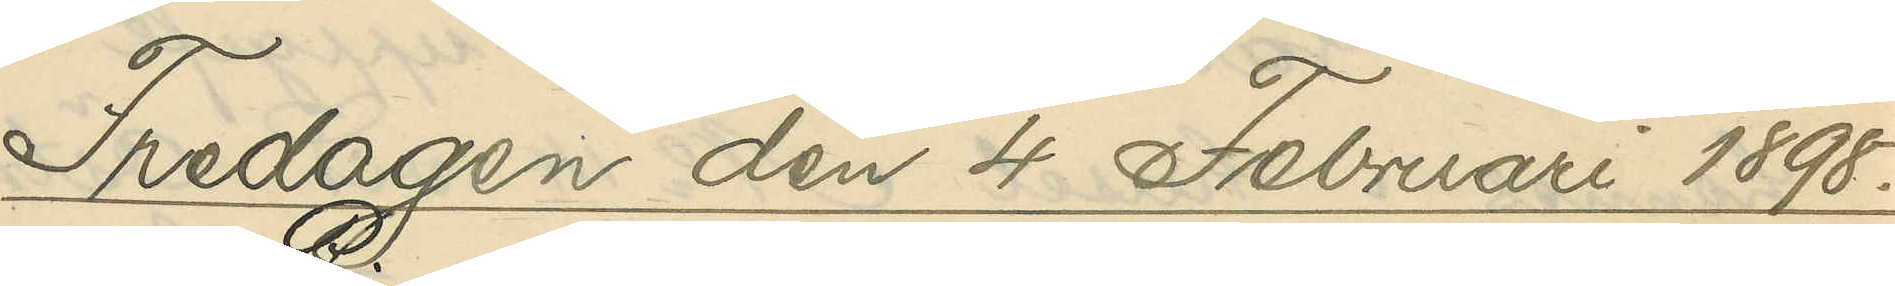Fredagen den 4 Februari 1898.
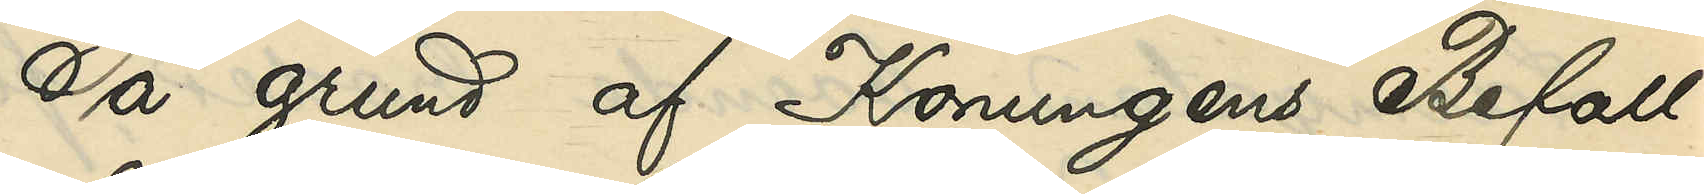På grund af Konungens Befall¬
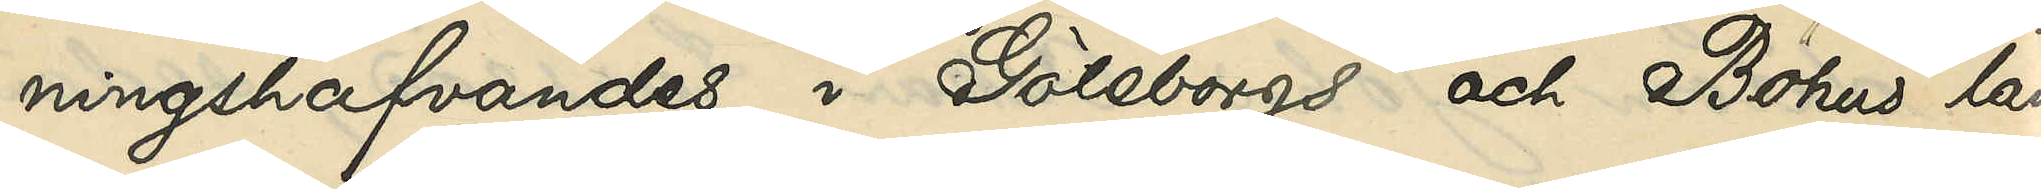ningshafvandes i Göteborgs och Bohus län
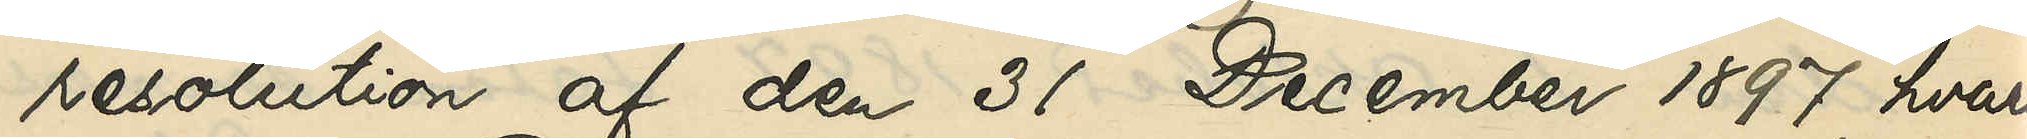resolution af den 31 December 1897, hvari¬
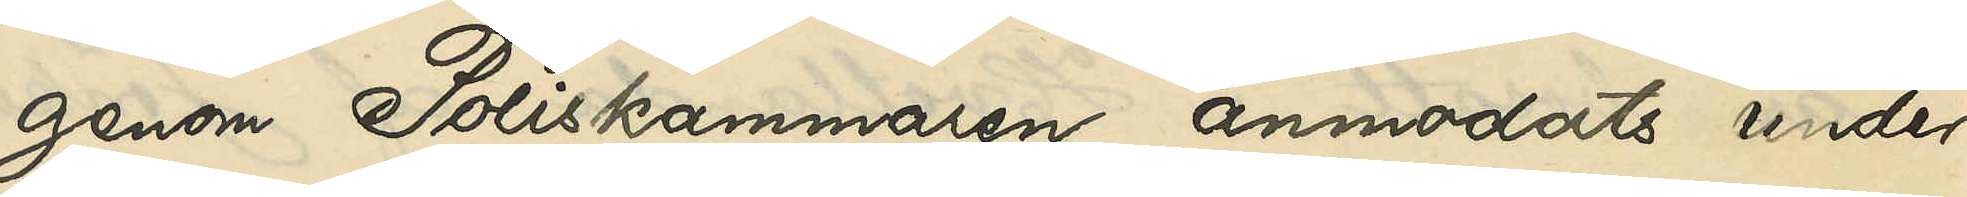genom Poliskammaren anmodats under¬
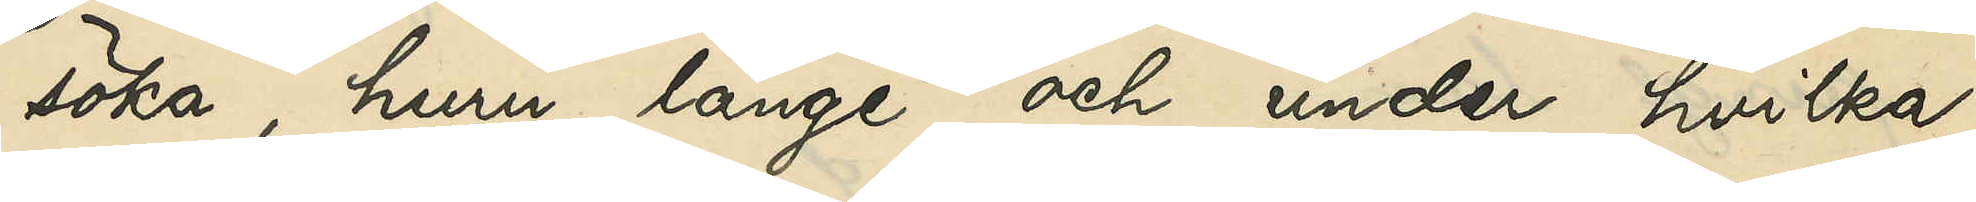söka, huru länge och under hvilka
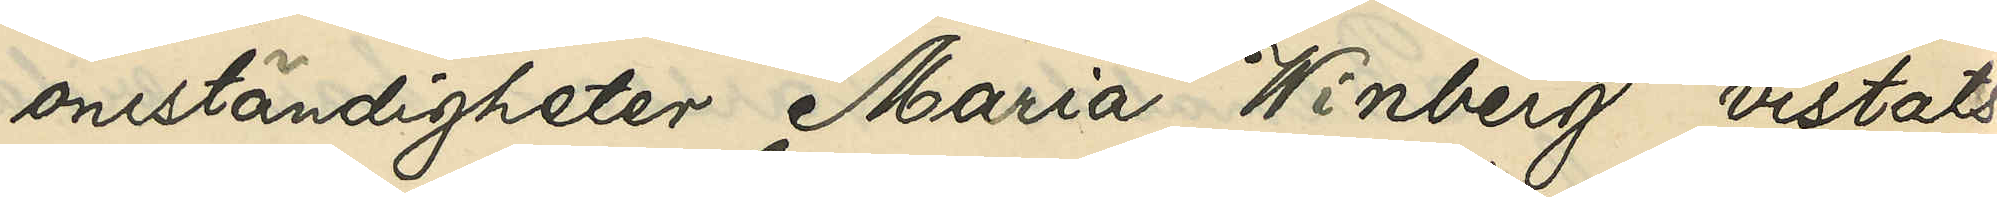omständigheter Maria Winberg vistats
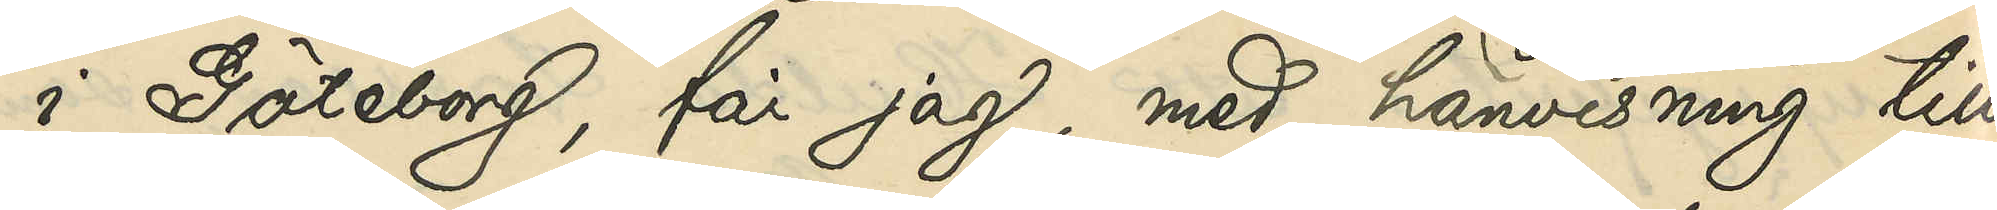i Göteborg, får jag, med hänvisning till
